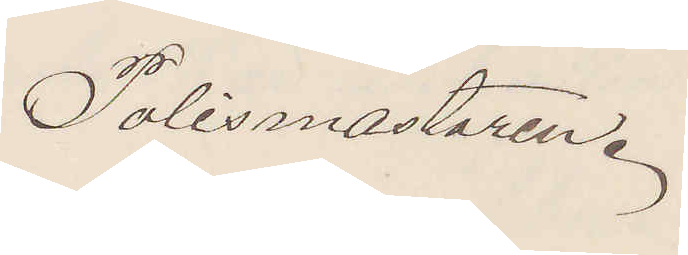Polismästaren.
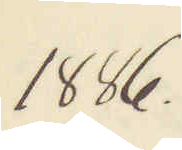1886.
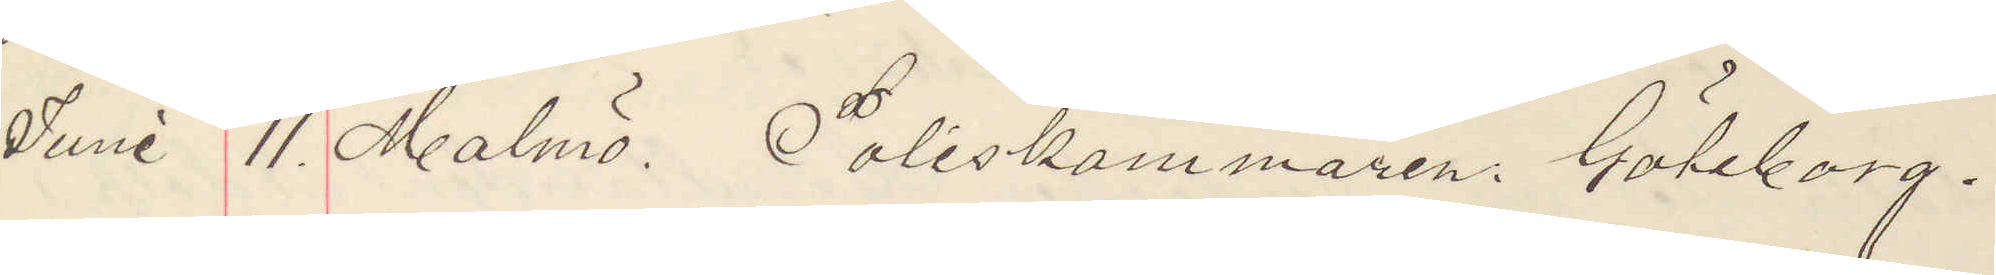Juni 11. Malmö. Poliskammaren Göteborg.
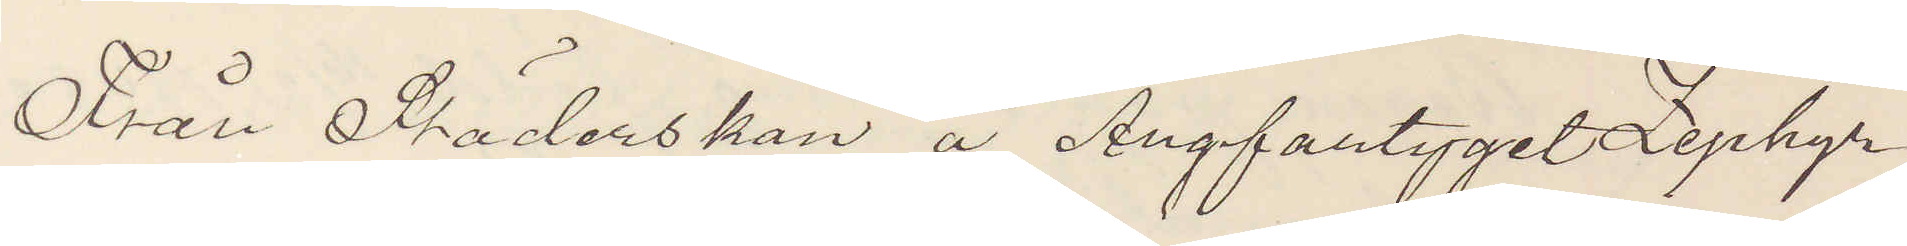Från Städerskan å Ångfartyget Zephyr
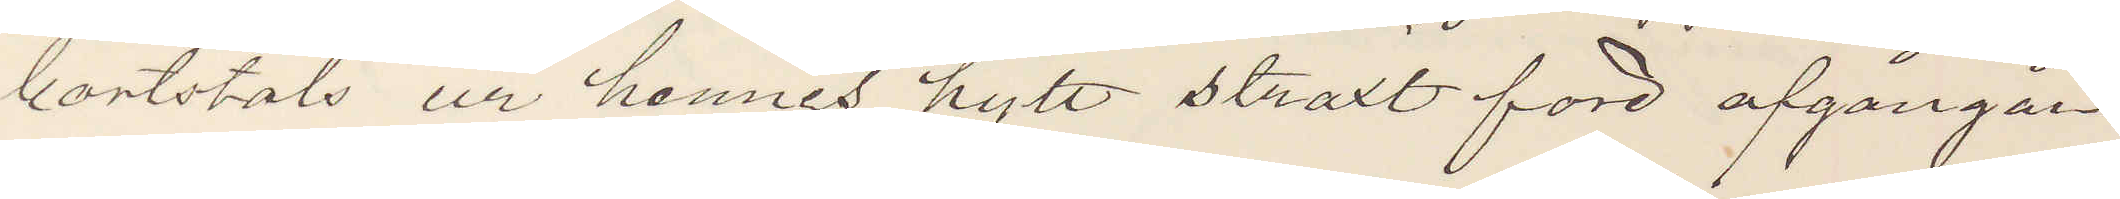bortstals ur hennes hytt straxt före afgångån¬
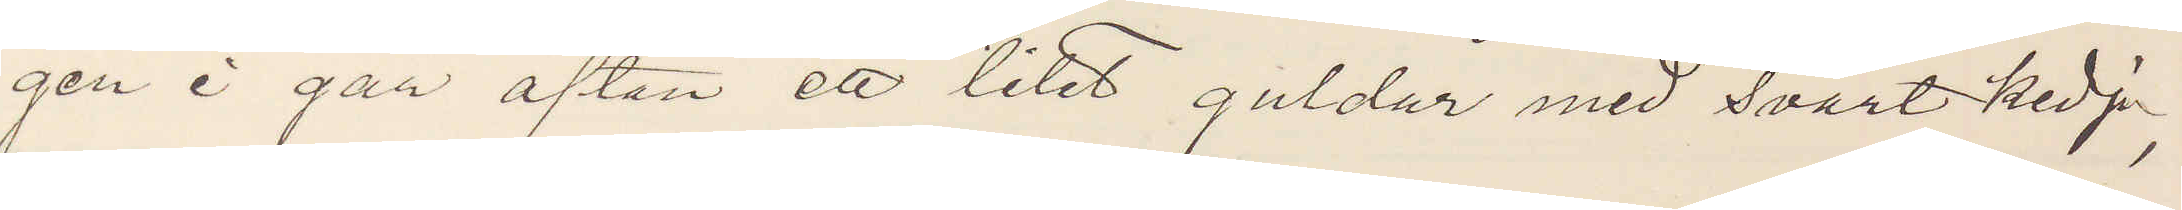gen i går afton ett litet guldur med svart kedja,
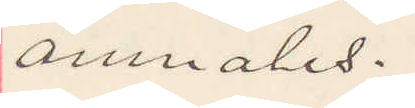anmäles.
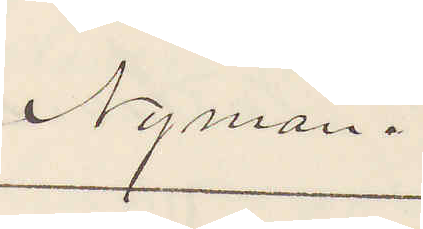Nyman.
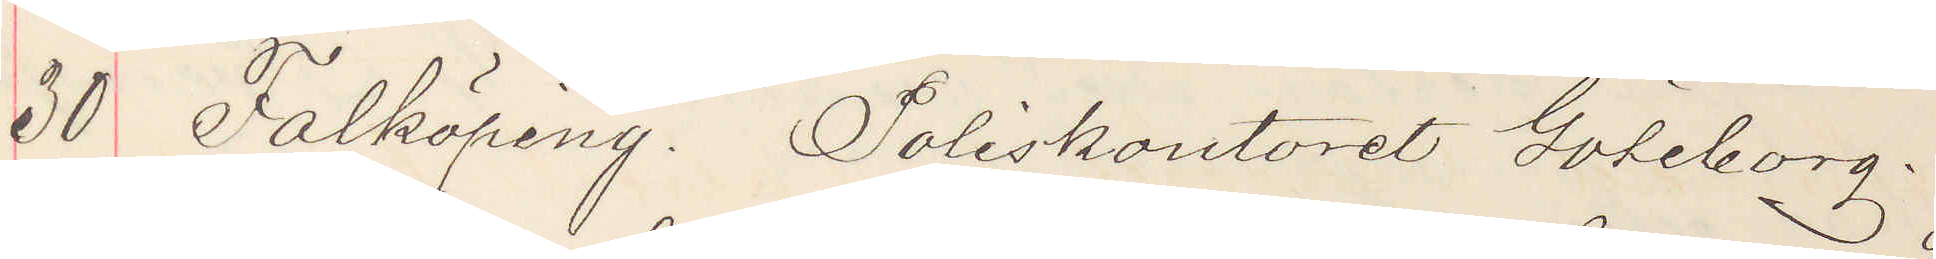30 Falköping. Poliskontoret Göteborg.
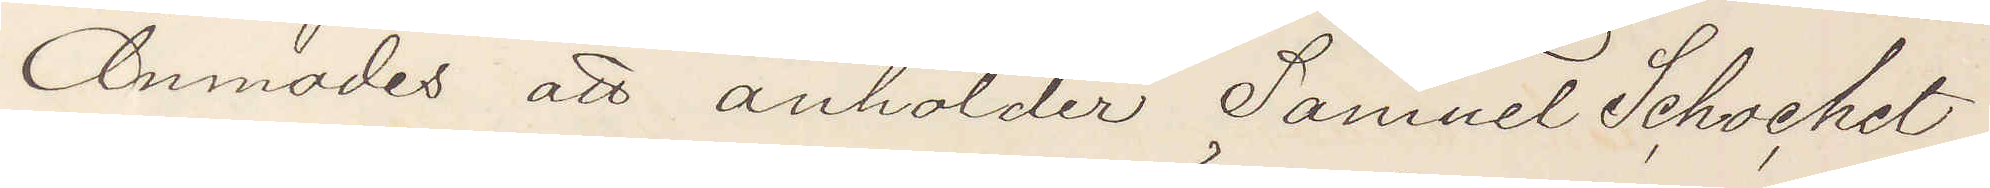Anmodas att anholder Samuel Schochet
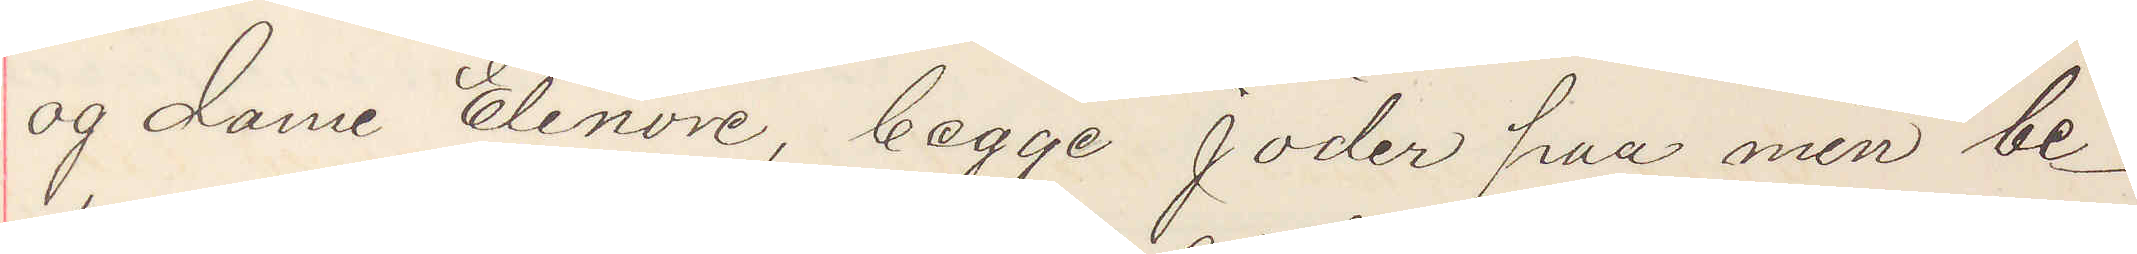og dame Elenore, begge jöder paa min be¬
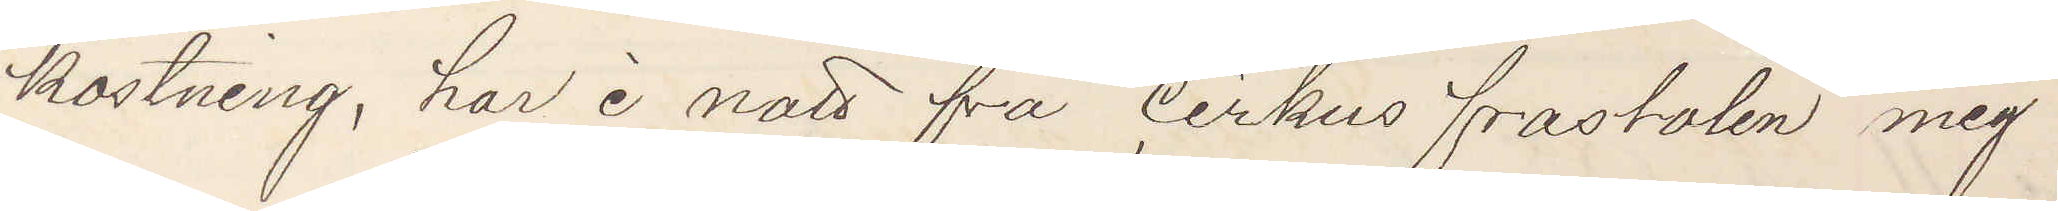kostning, har i natt fra cirkus frastolen mig
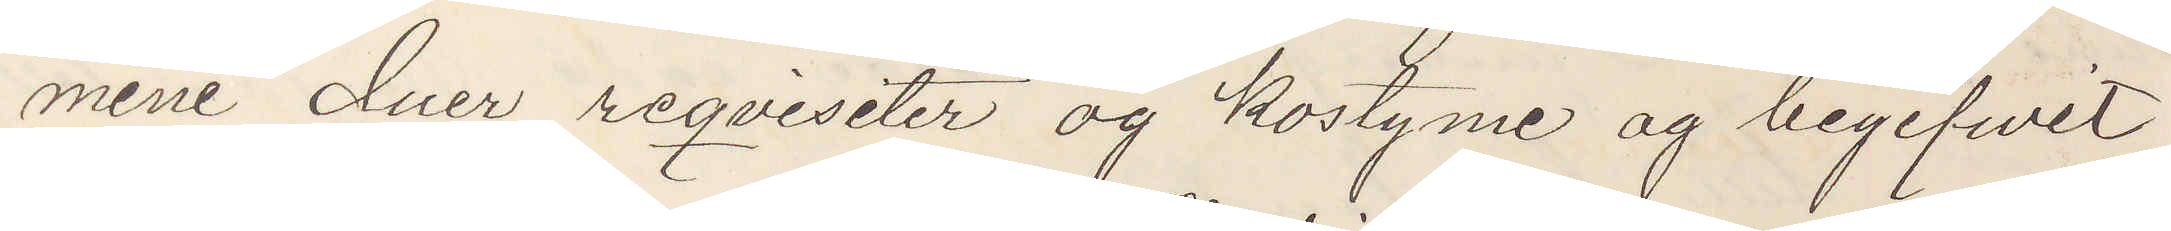mine duer reqvisiter og kostyme og begifwit
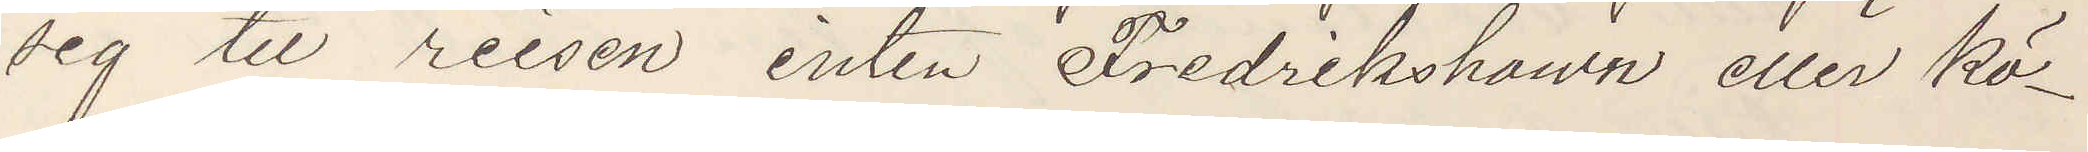sig til reisen inten Fredrikshawn eller Kö¬
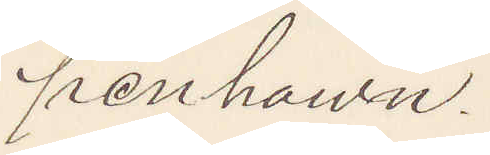penhawn.
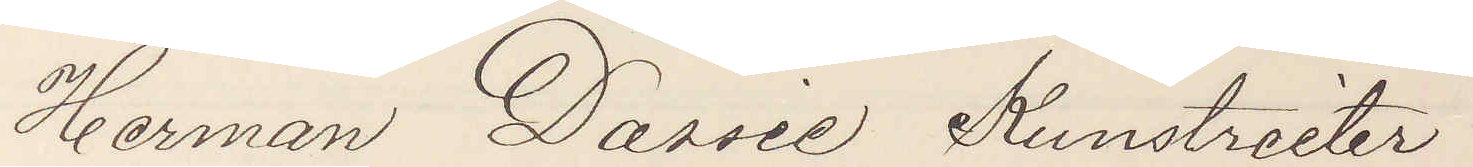Herman Dassie Kunstreiter
